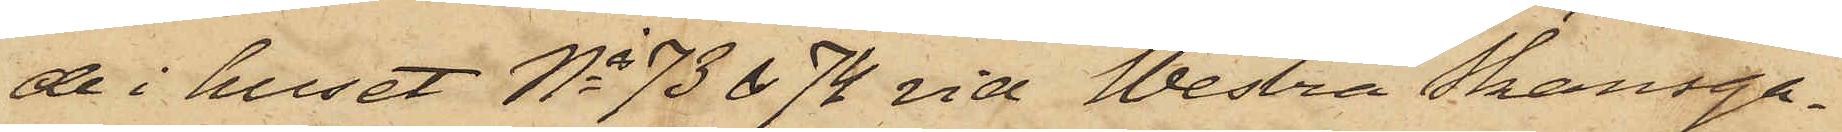de i huset Nis 73 & 74 vid Westra Skansga¬
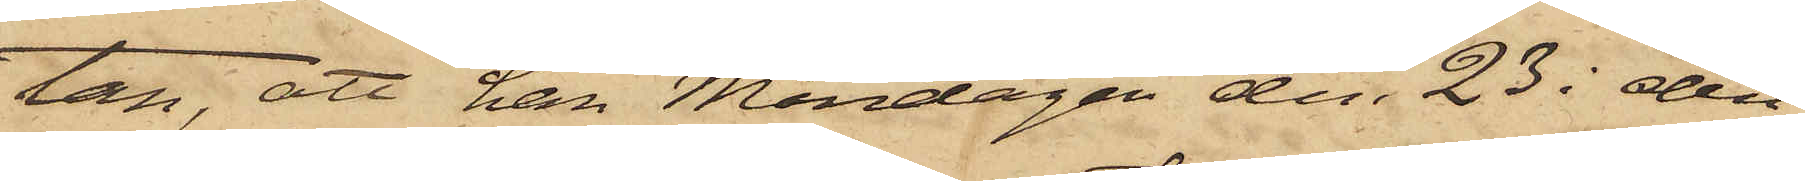tan, att han Måndagen den 23 i den
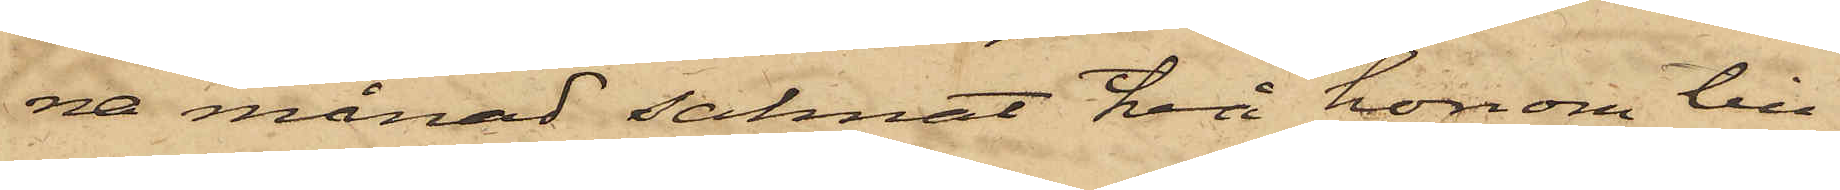na månad saknat två honom till¬
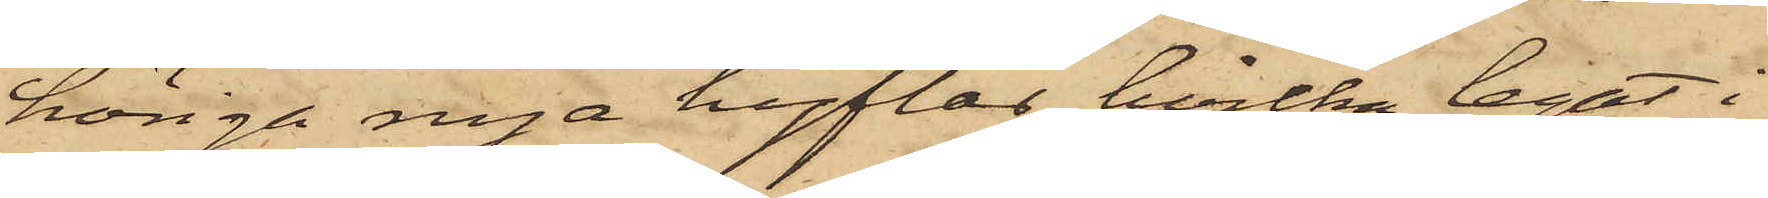höriga nya hyflar, hvilka legat i
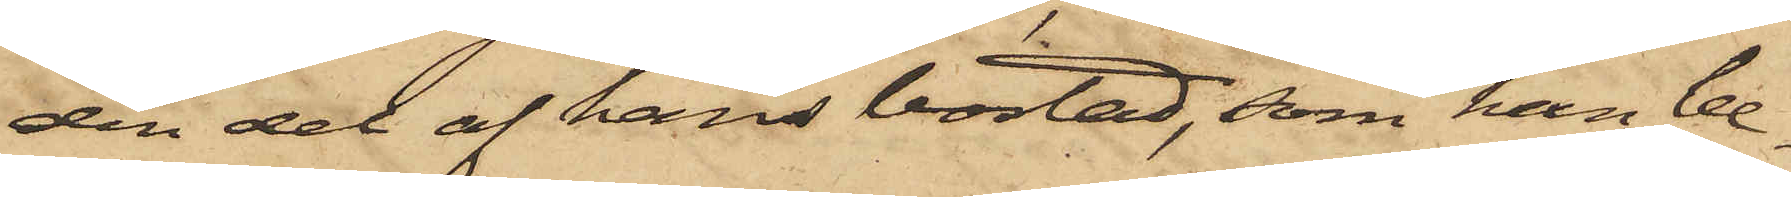den del af hans bostad, som han be¬
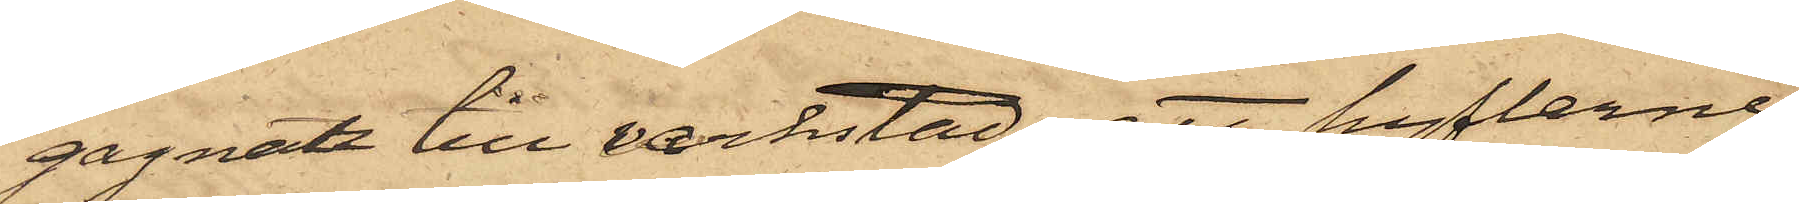gagnat till verkstad; att hyflerne,
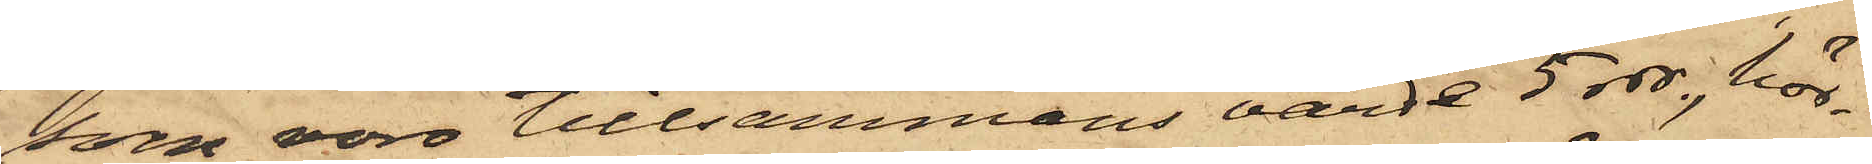som voro tillsammans värde 5 rdr, hör¬
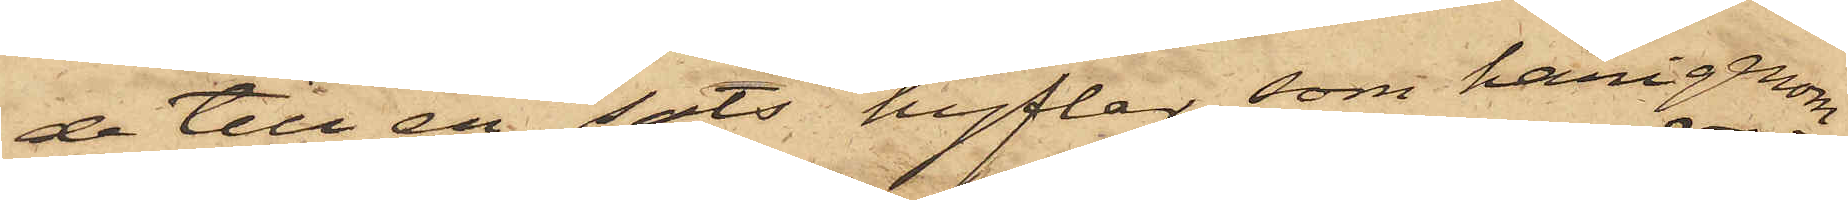de till en "sats" hyfler, som härigenom
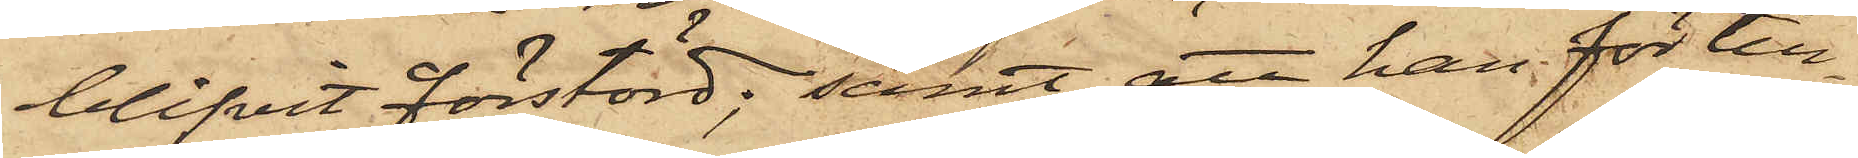blifvit förstörd; samt att han för till¬
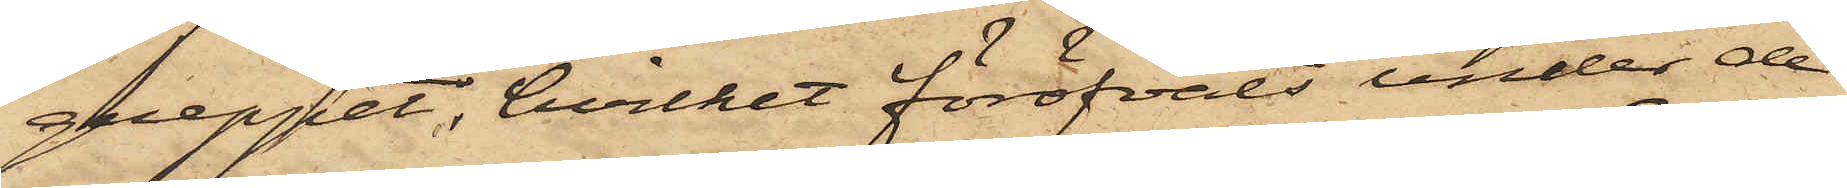greppet, hvilket föröfvats under de
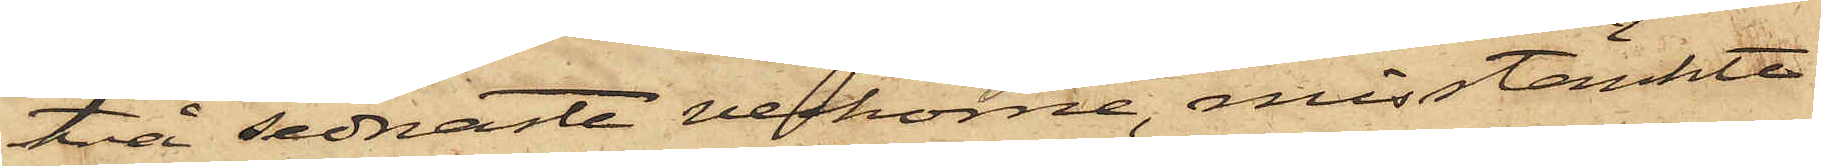två sednaste veckorne, misstänkte
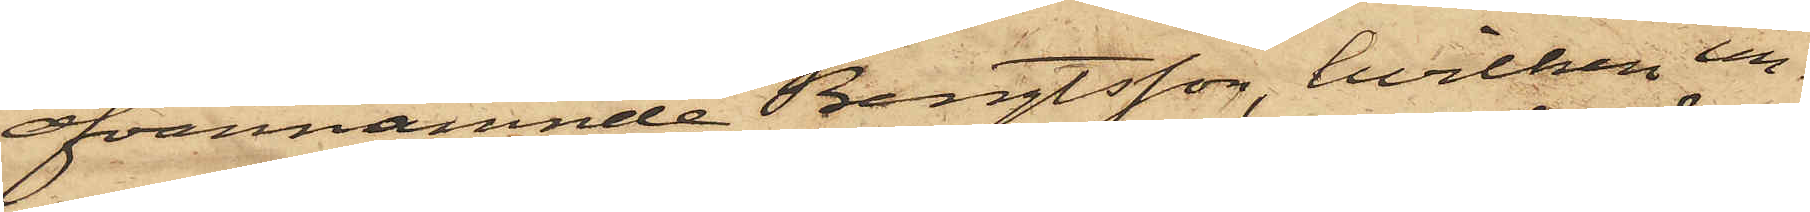ofvannämnde Bengtsson, hvilken un¬
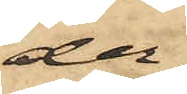der
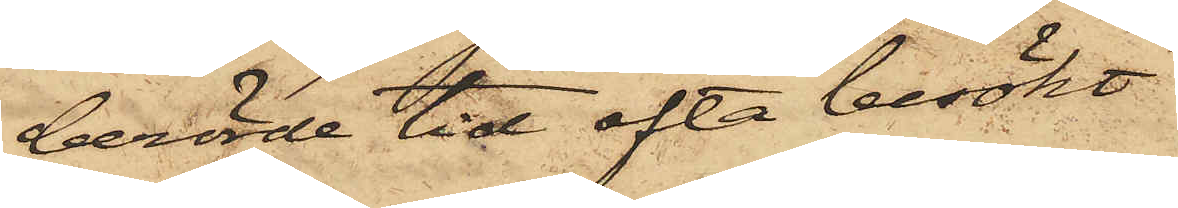berörde tid ofta besökt
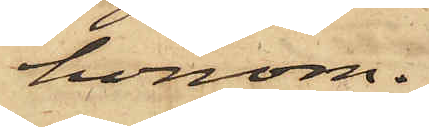honom.
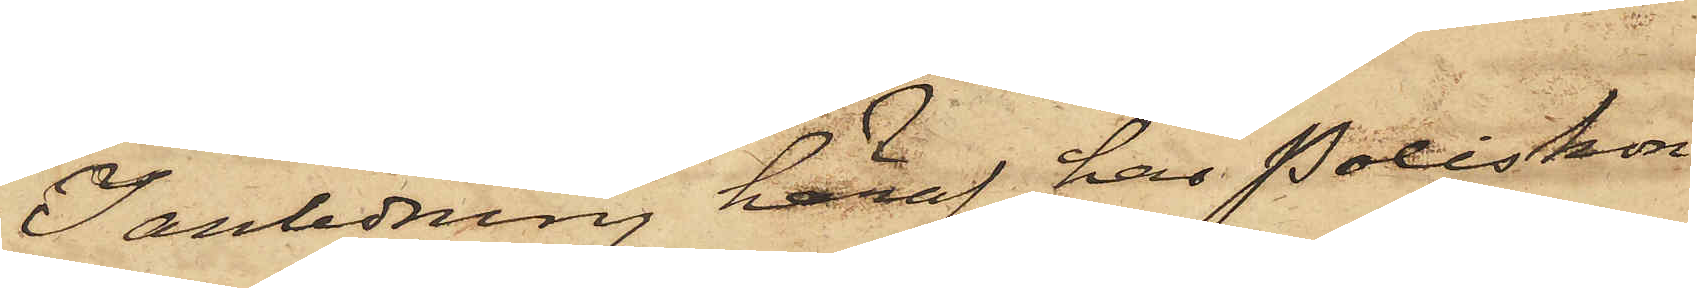I anledning häraf har Poliskon¬
